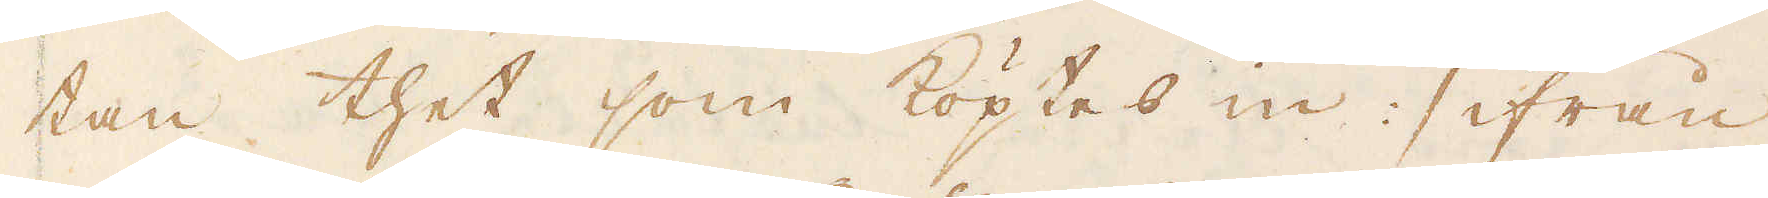tan thet som köptes in :/ ifrån
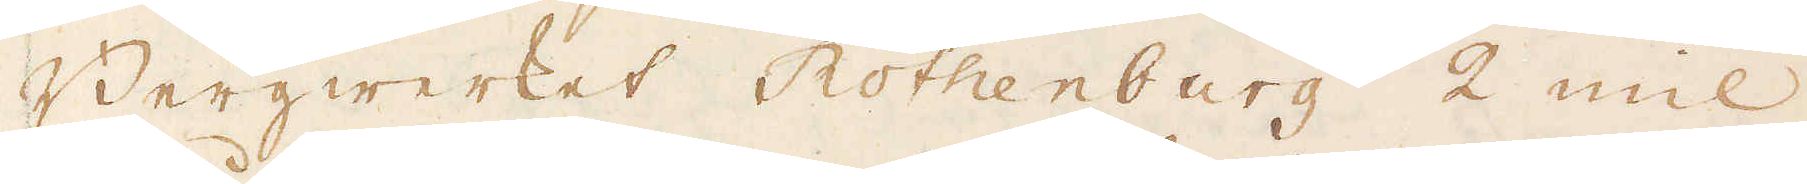Bergwerket Rothenburg 2 mil
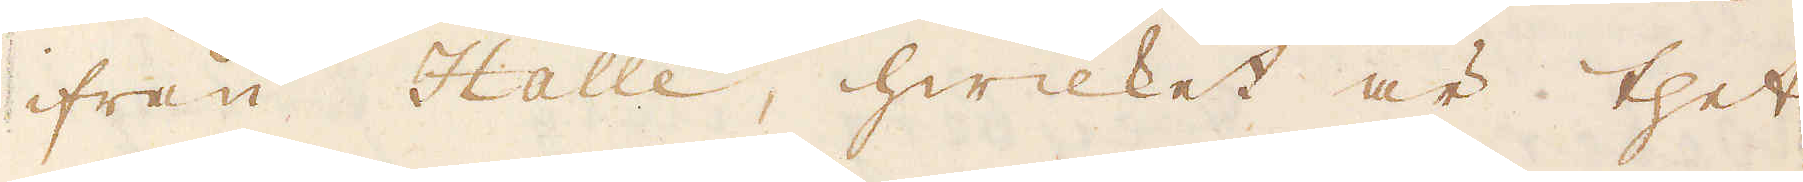ifrån Halle, hwilket är thet
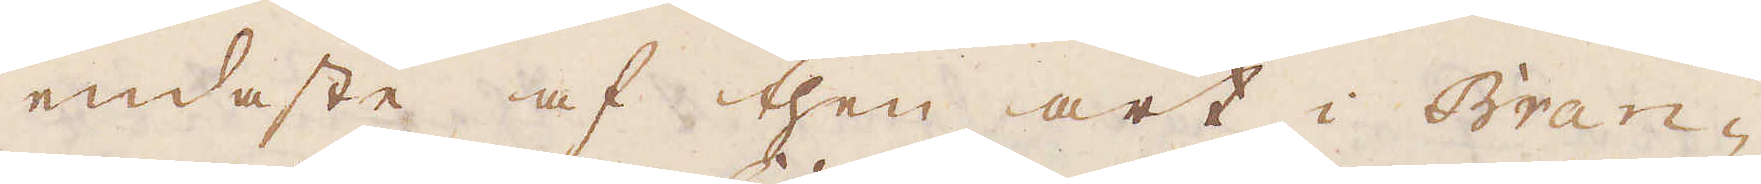endaste af then art i Bran-
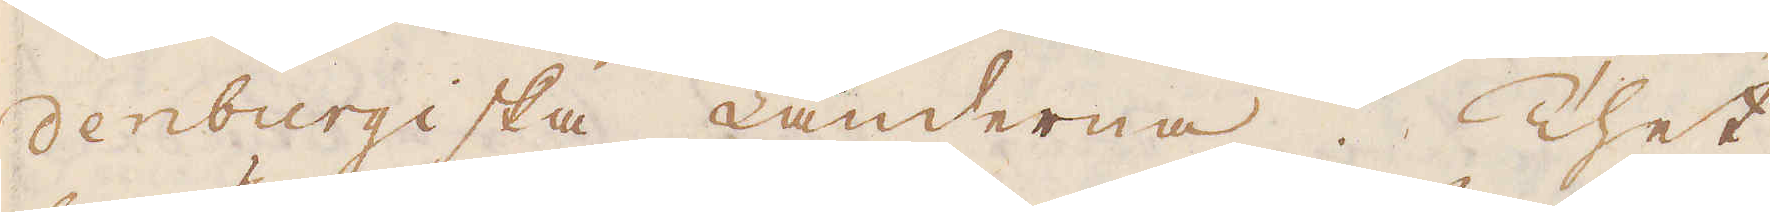denburgiska Länderna. Thet
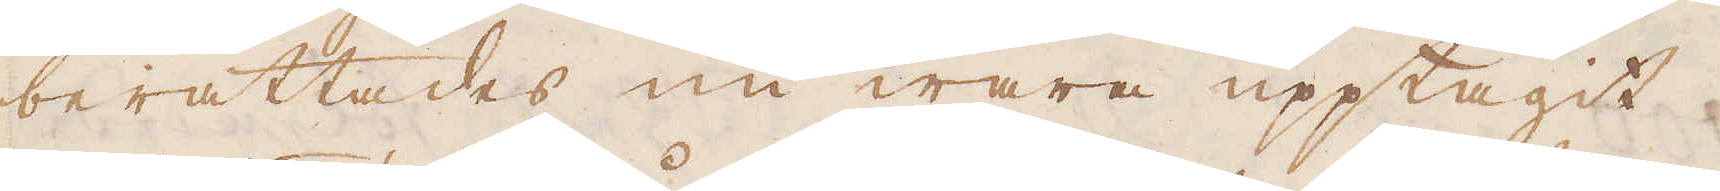berättades nu wara upptagit.
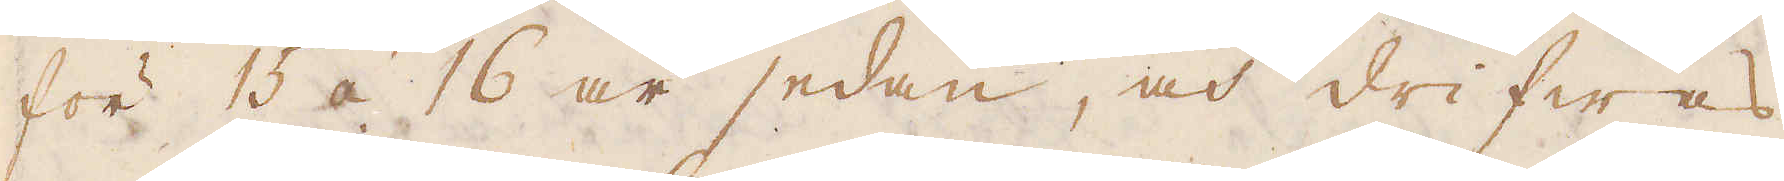för 15 á 16 år sedan, och drifwas
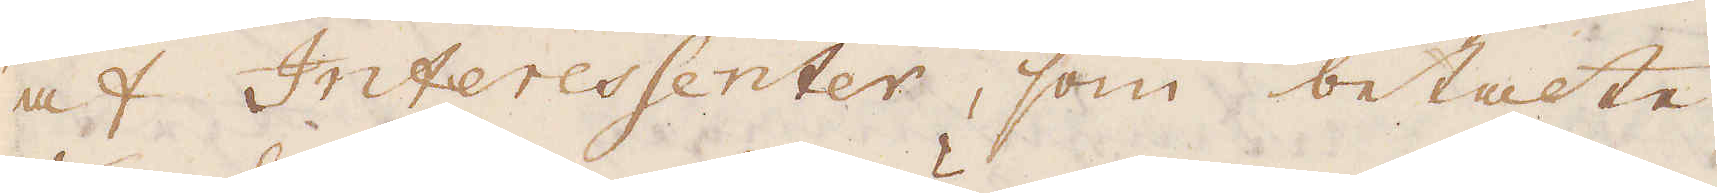af Interessenter, som betalte
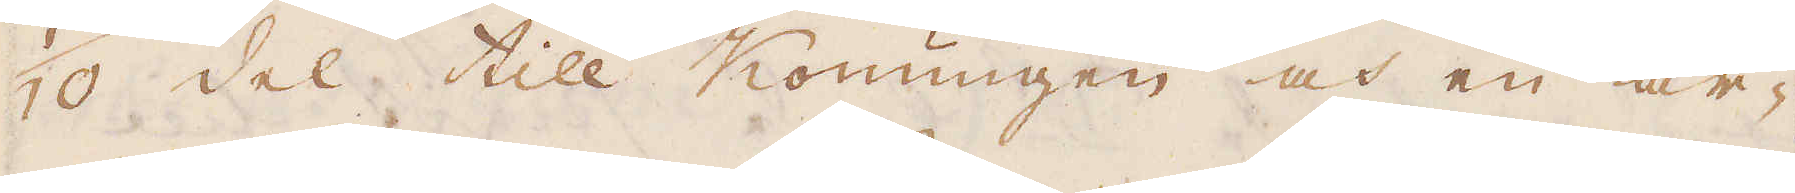1/10 del till Konungen och en år-
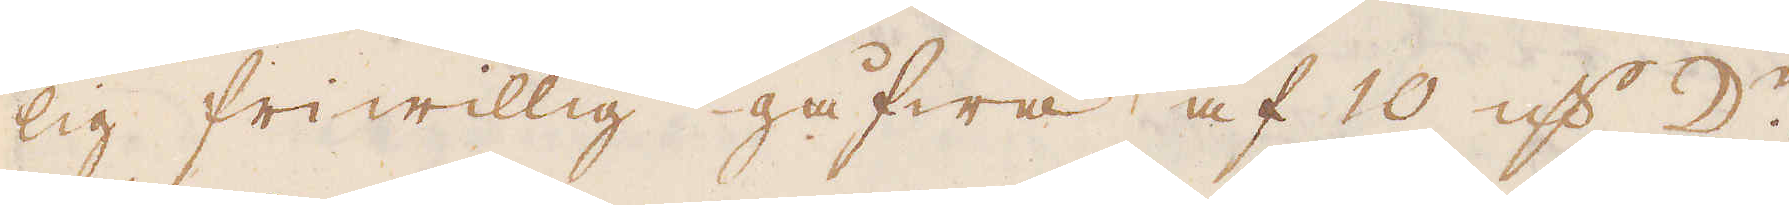lig friwillig gåfwa af 10 qv:r ☽:r.
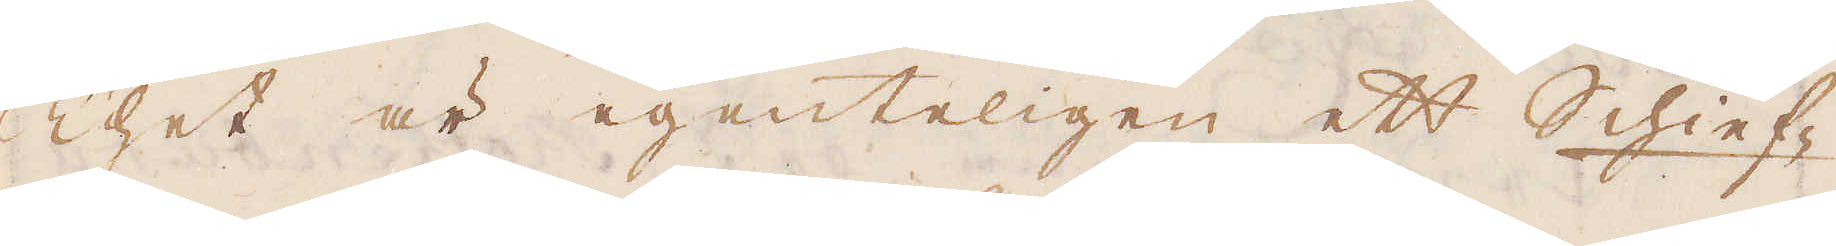Thet är egenteligen ett Schief-
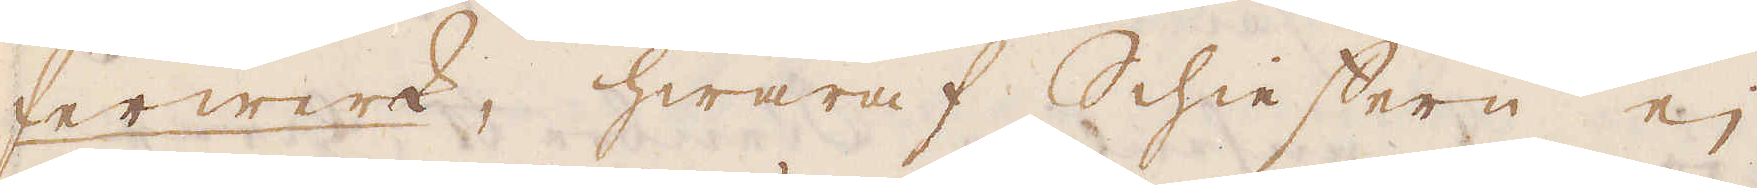ferwerk, hwaraf Schieffern ej
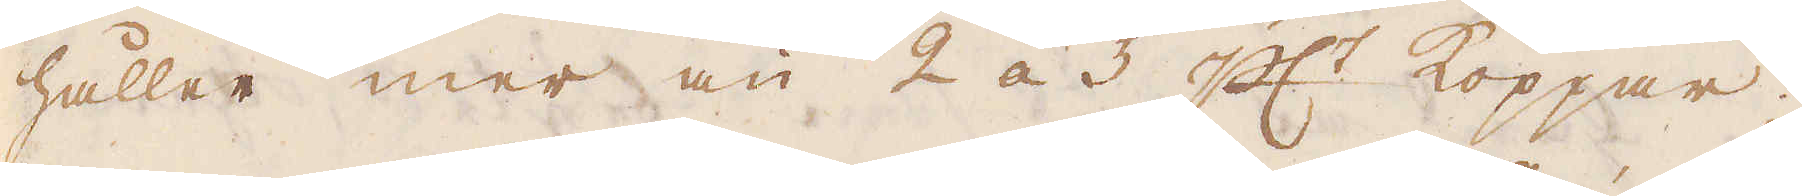håller mer än 2 á 5 pc:t Koppar;
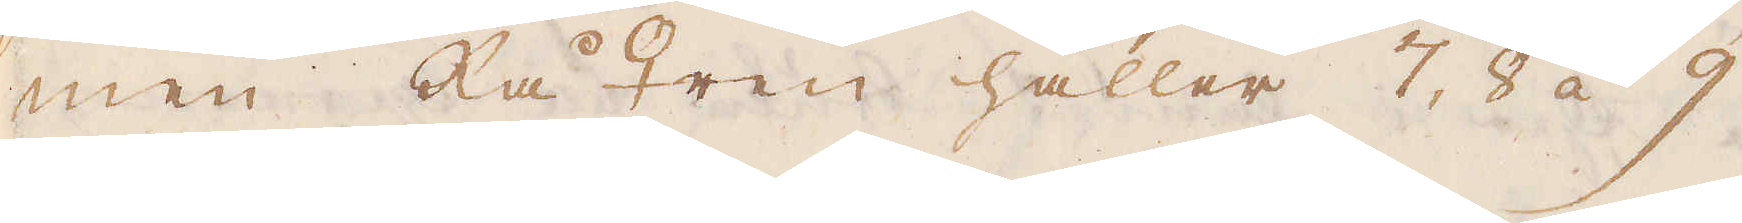men Rå ♀ren håller 7, 8 à 9
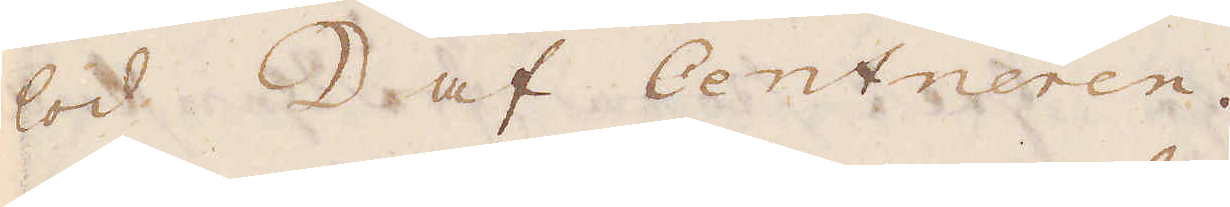lod ☽ af Centneren.
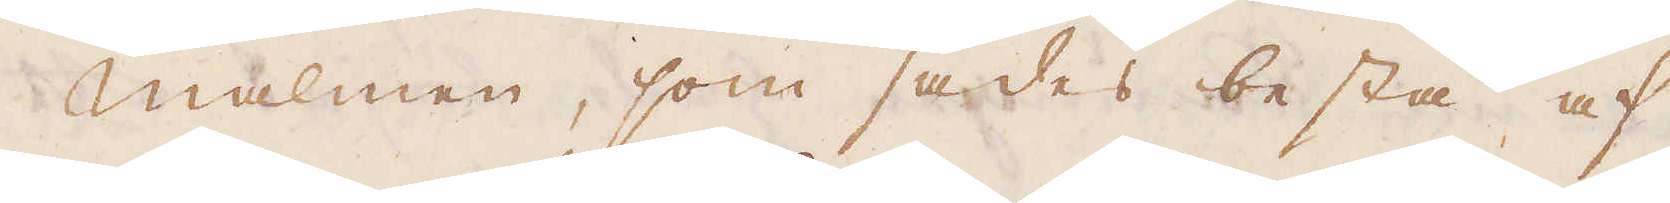Malmen, som sades bestå af
